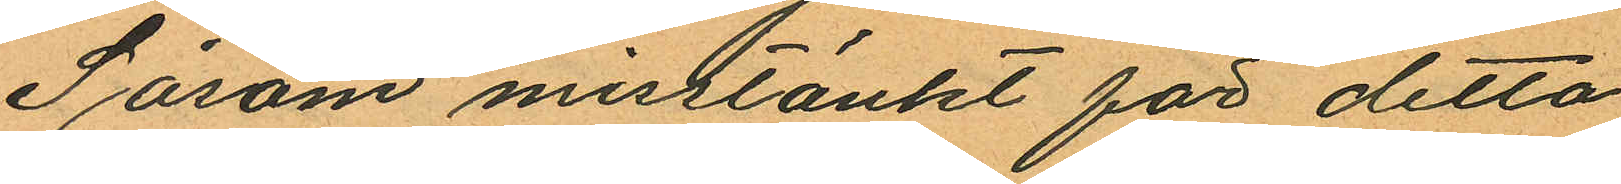Såsom misstänkt för detta
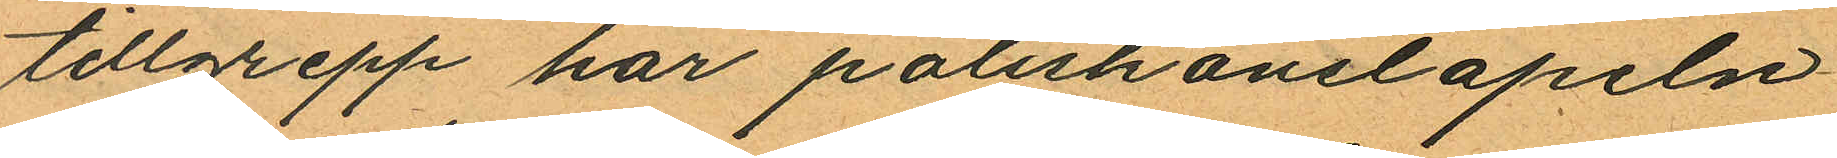tillgrepp har poliskonstapeln
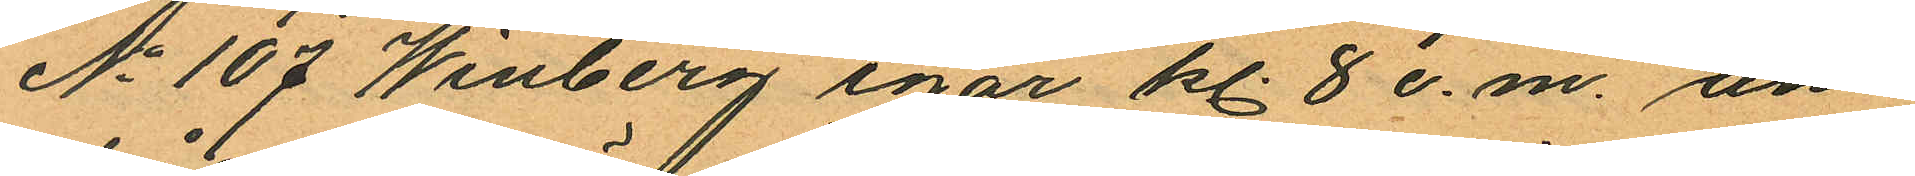No 107 Winberg igår kl. 8 e.m. an¬
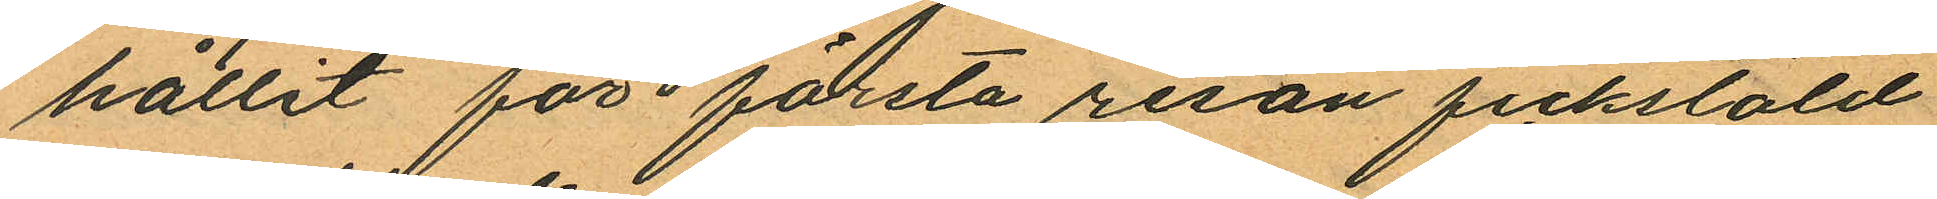hållit för första resan fickstöld
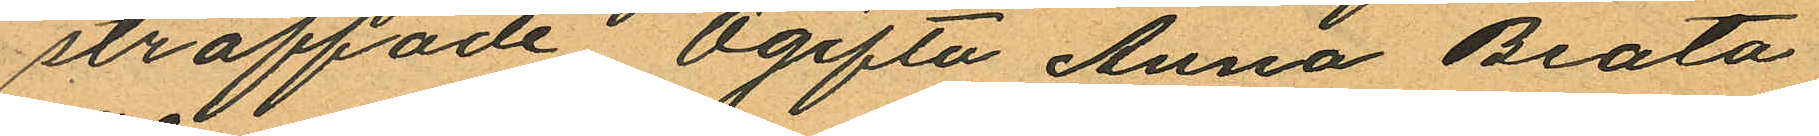straffade Ogifta Anna Beata
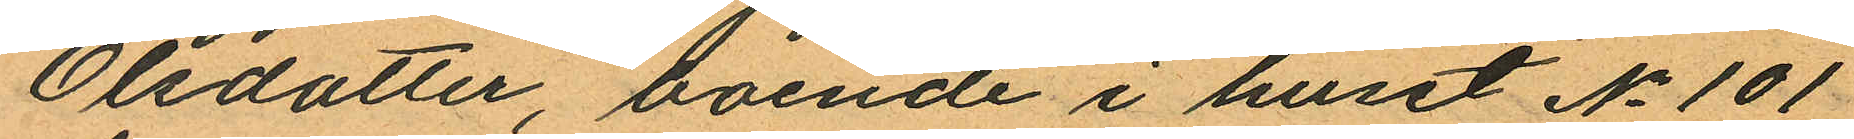Olsdotter, boende i huset No 101
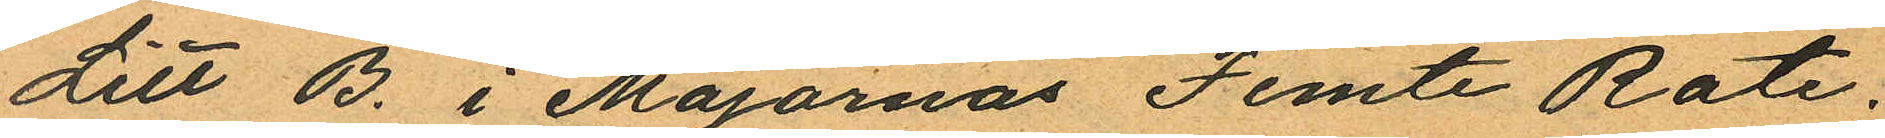Litt B. i Majornas Femte Rote;
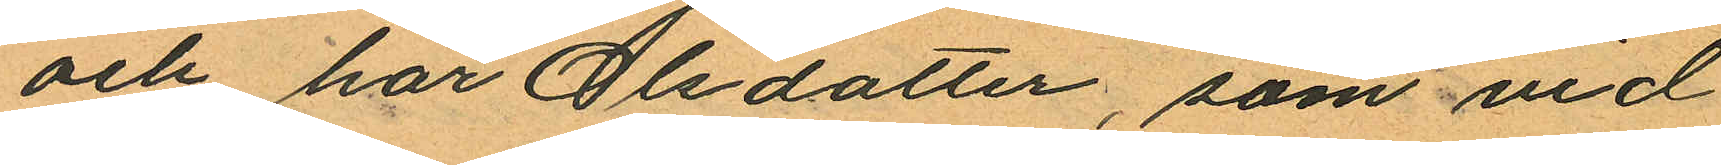och har Olsdotter, som vid
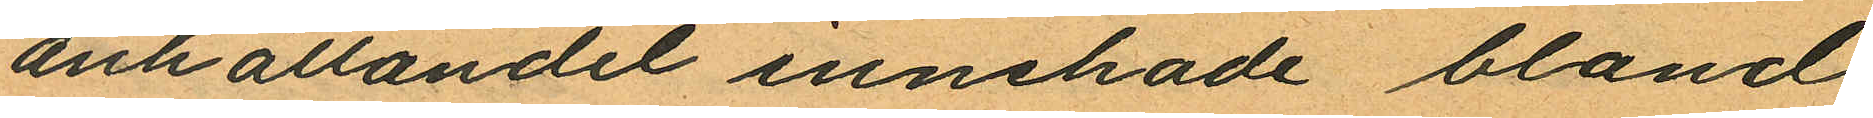anhållandet innehade bland
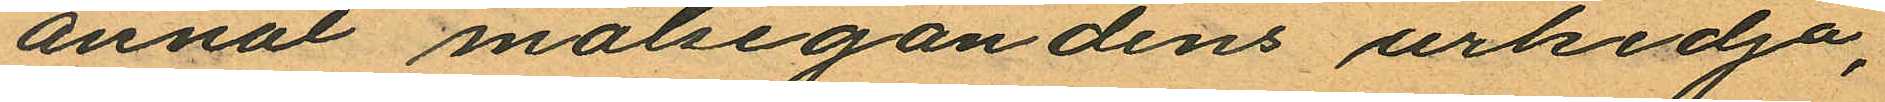annat målsegandens urkedja,
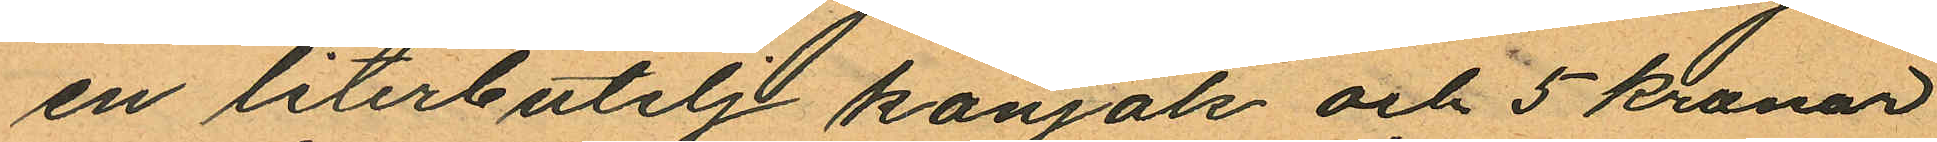en literbutelj konjak och 5 kronor
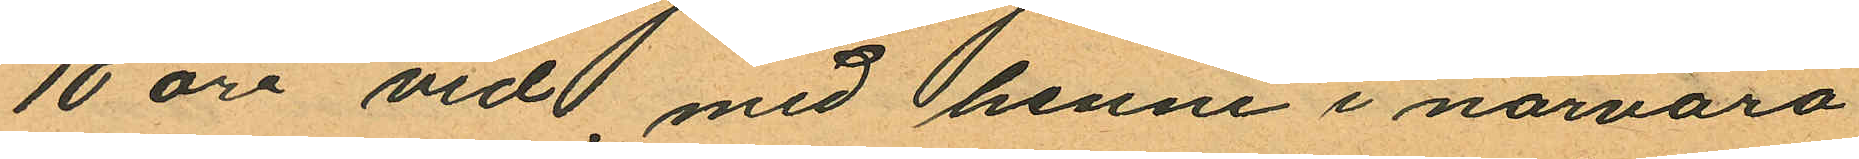10 öre vid med henne i närvaro
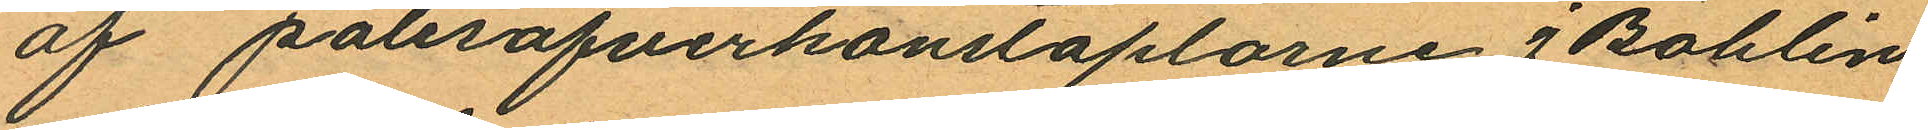af polisöfverkonstaplarne J Bohlin
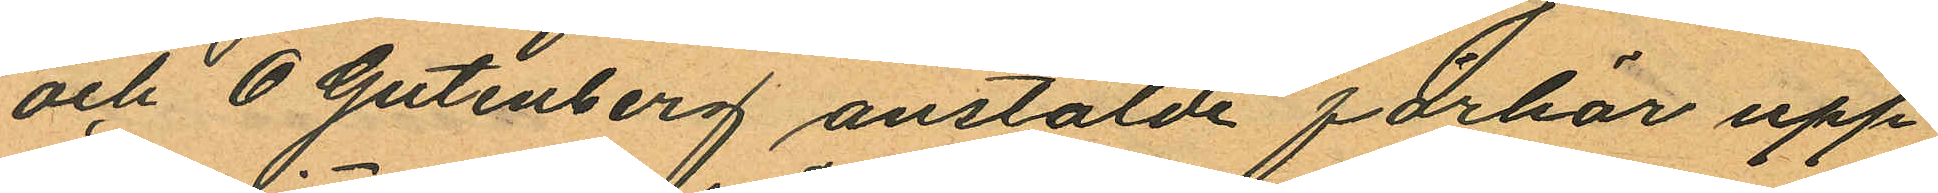och O Gutenberg anstälde förhör upp¬
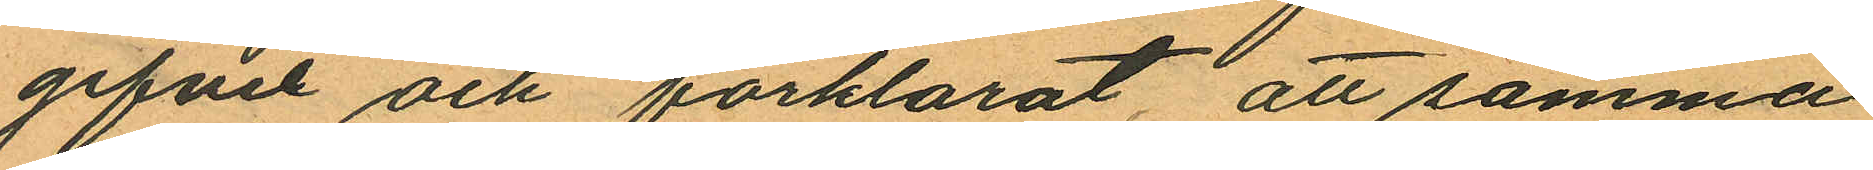gifvit och förklarat, att samma
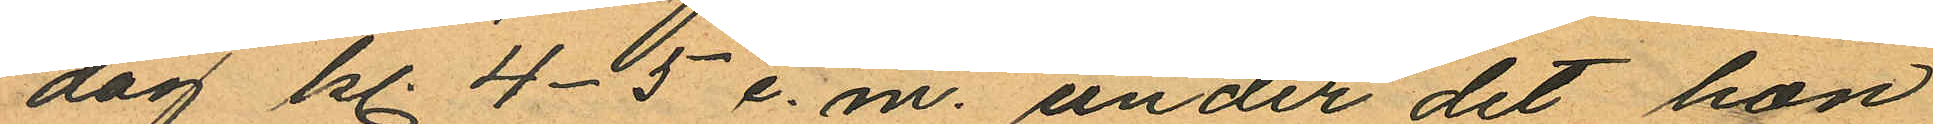dag kl. 4-5 e.m. under det hon
